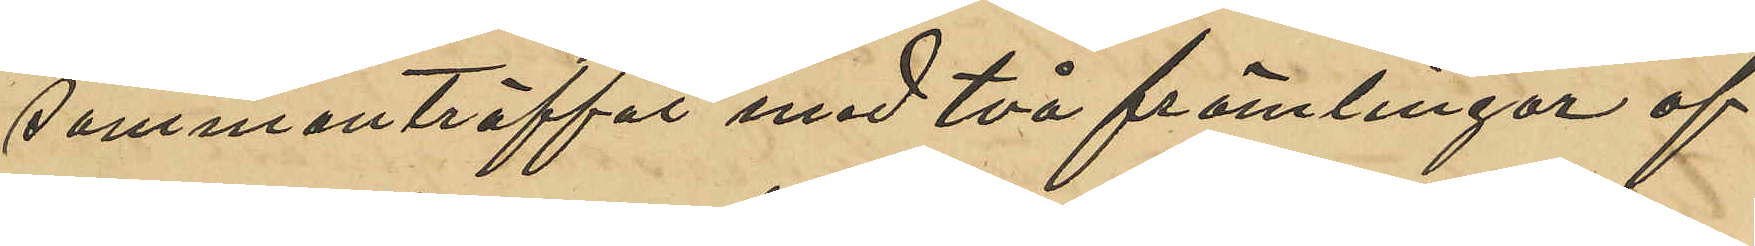sammanträffat med två främlingar af
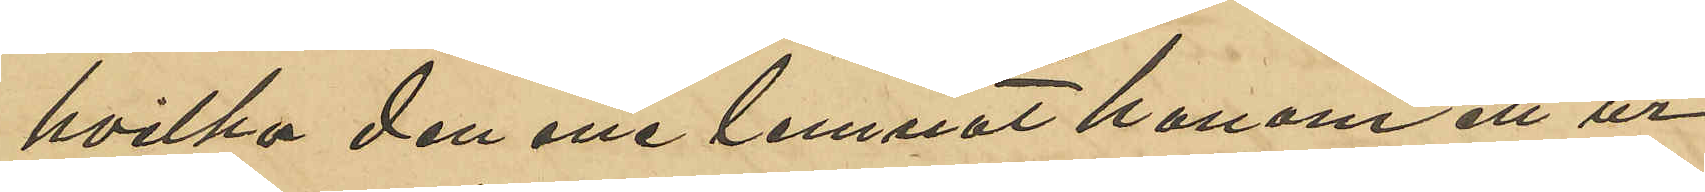hvilka den ene lemnat honom ett ur
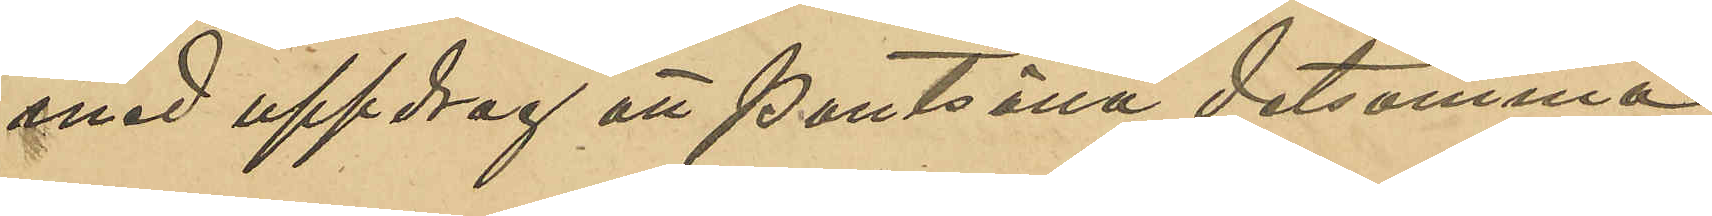med uppdrag att pantsätta detsamma
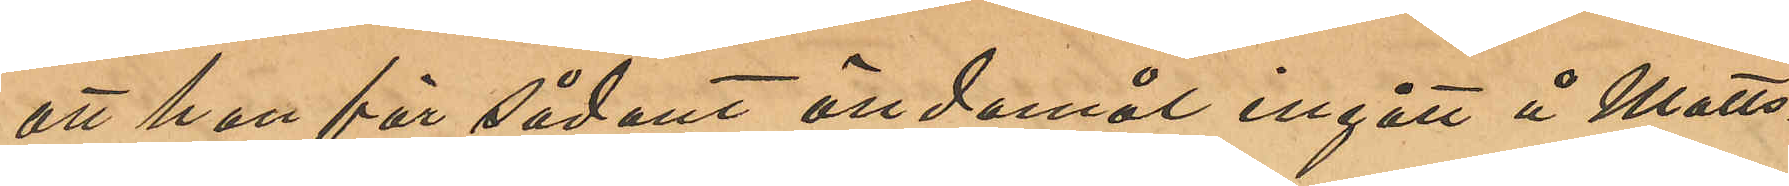att han för sådant ändamål ingått i Matts¬
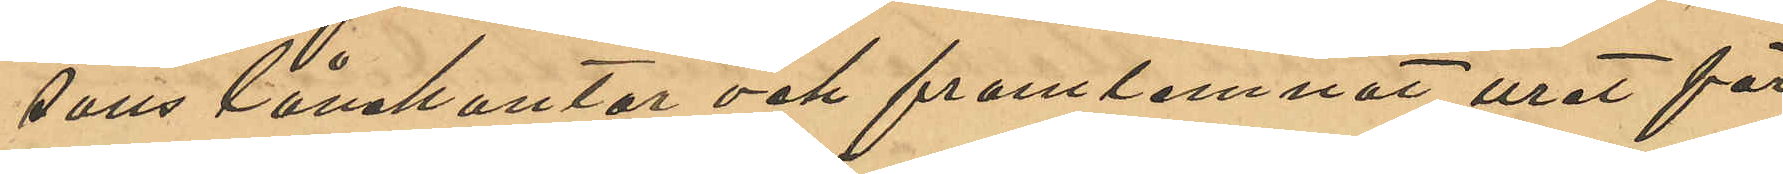sons lånekontor och framlemnat uret för
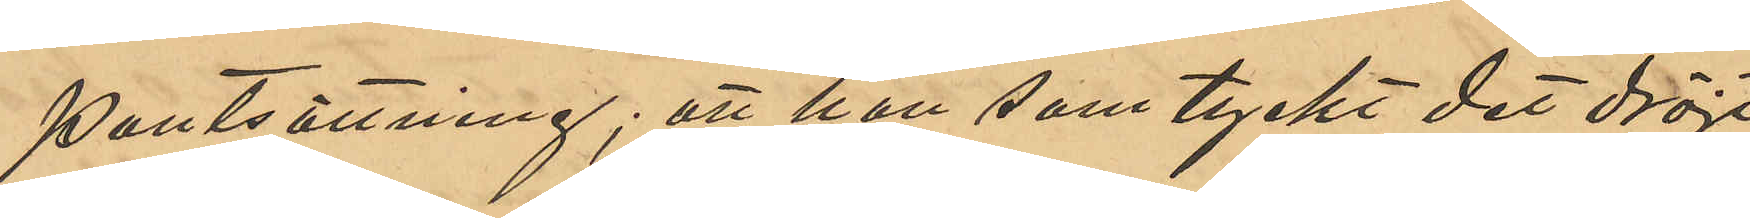pantsättning; att han som tyckt det dröjt
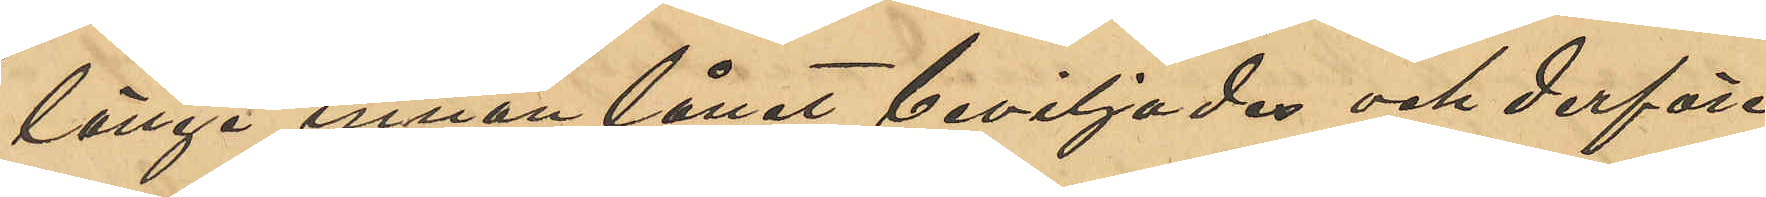länge innan lånet beviljades och derföre
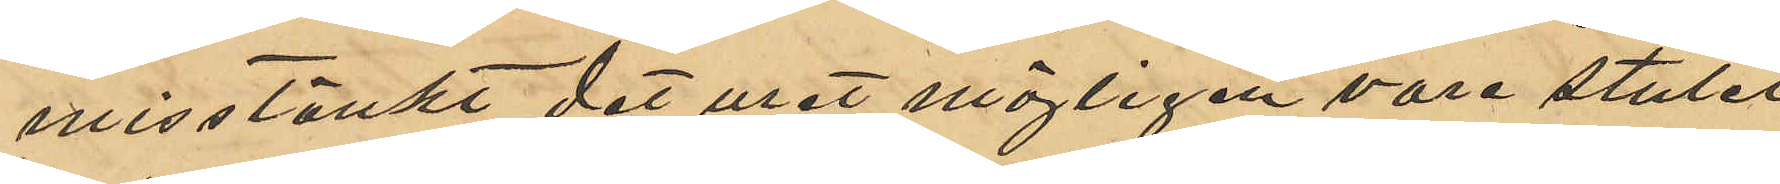misstänkte det uret möjligen vore stulet,
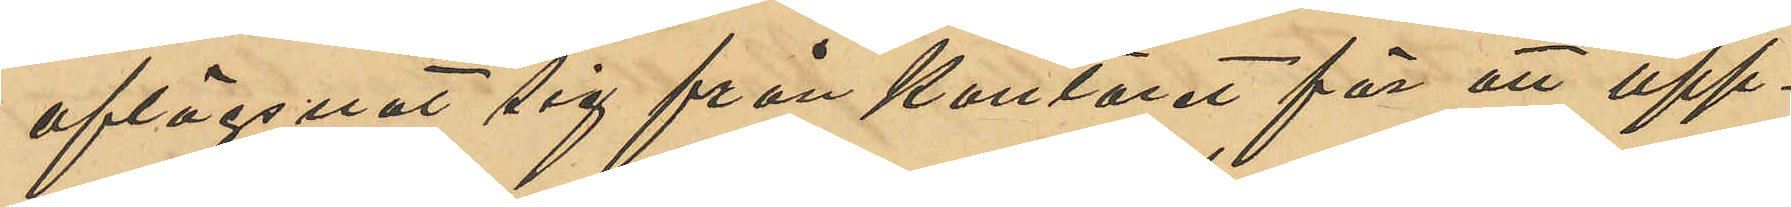aflägsnat sig från Kontoret för att upp¬
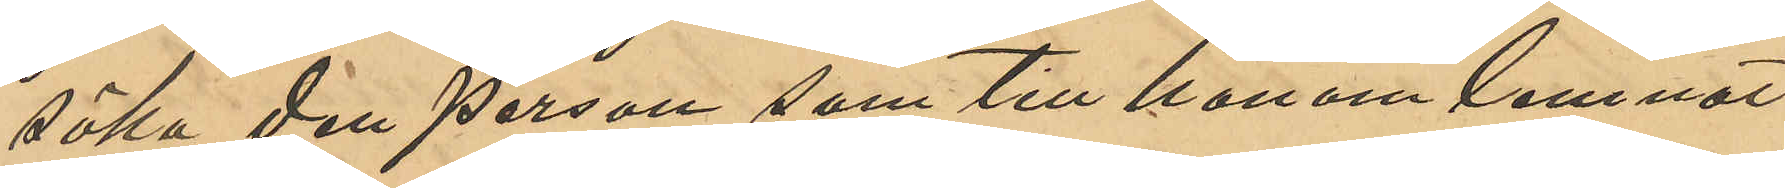söka den person som till honom lemnat
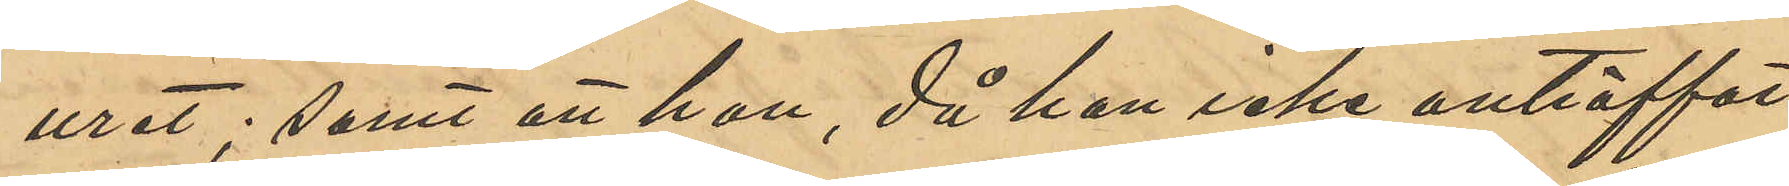uret; samt att han, då han icke anträffat
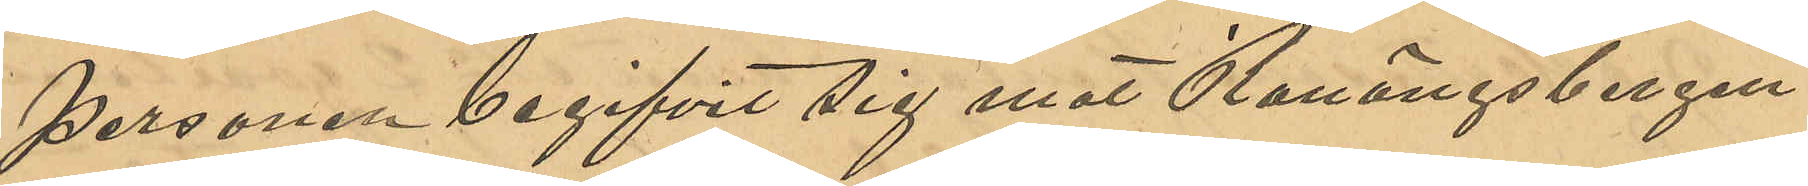personen begifvit sig mot Ranängsbergen.
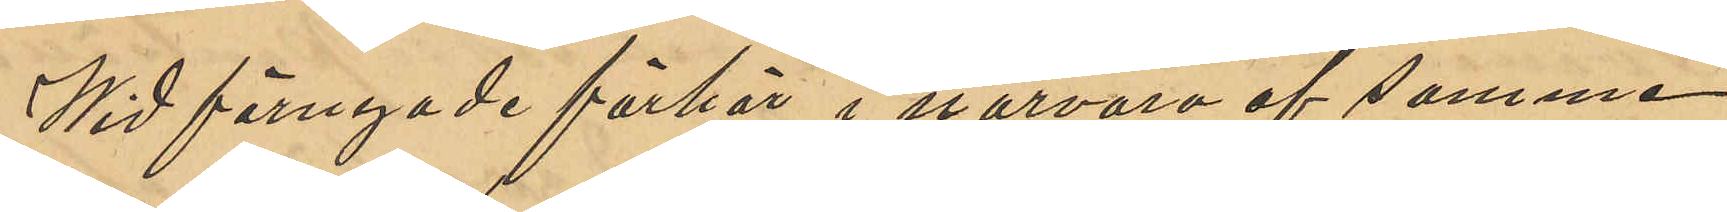Wid förnyade förhör i närvaro af samma
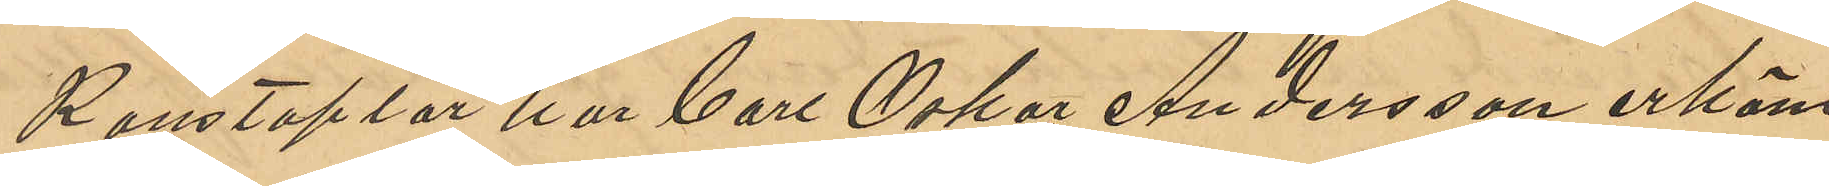Konstaplar har Carl Oskar Andersson erkänt
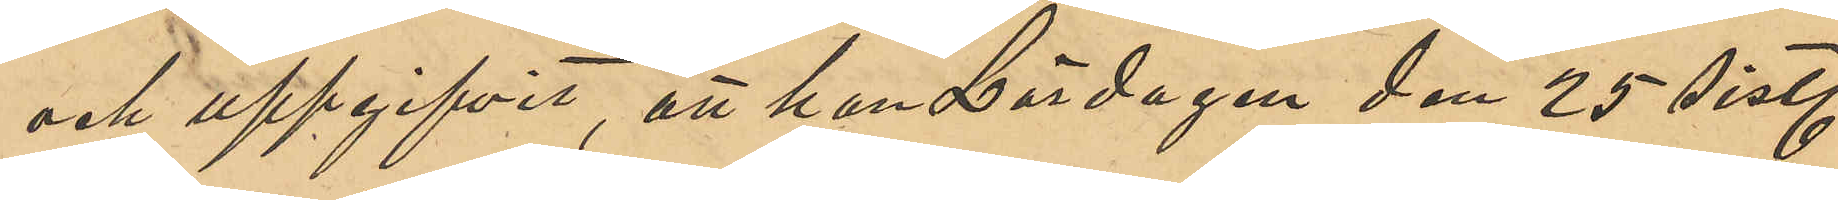och uppgifvit, att han Lördagen den 25 sistl.
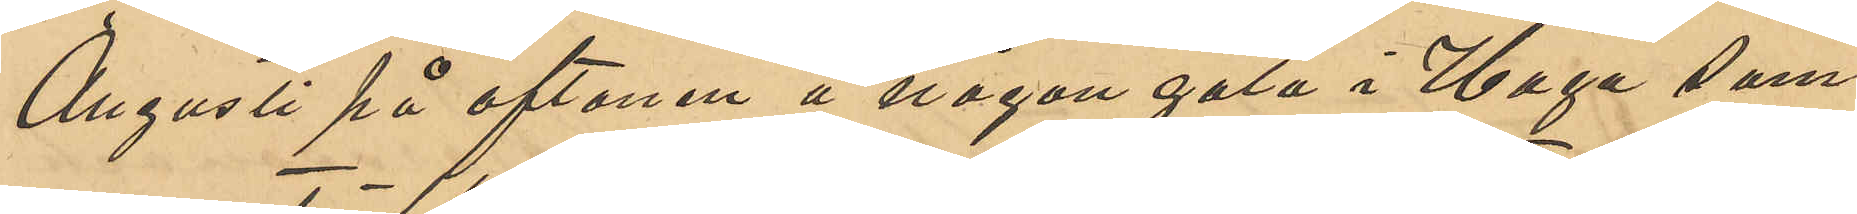Augusti på aftonen å någon gata i Haga sam¬
